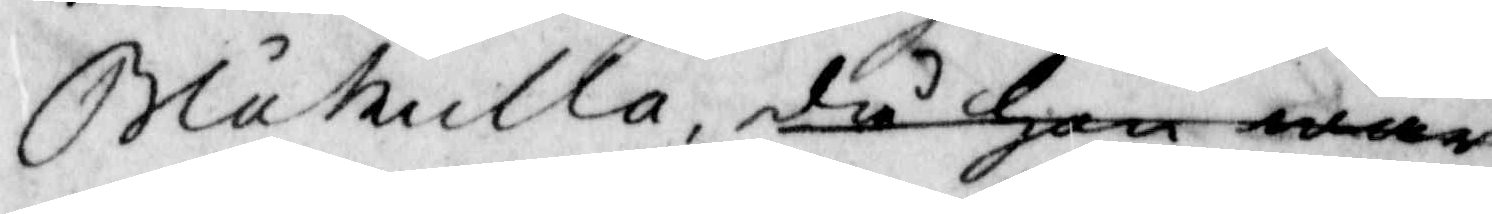Blåkulla, då hon war
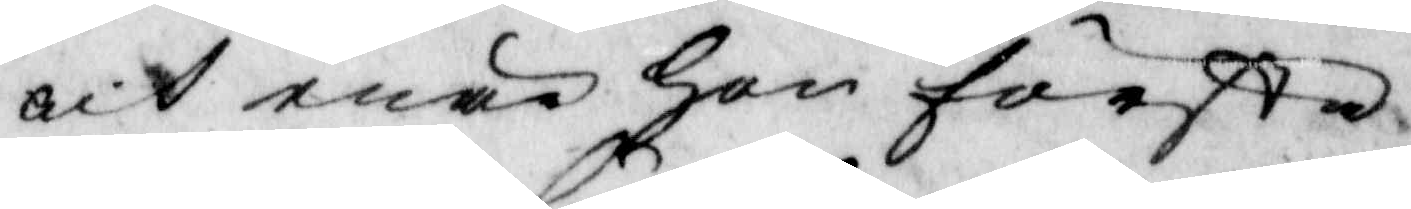och enär hon första
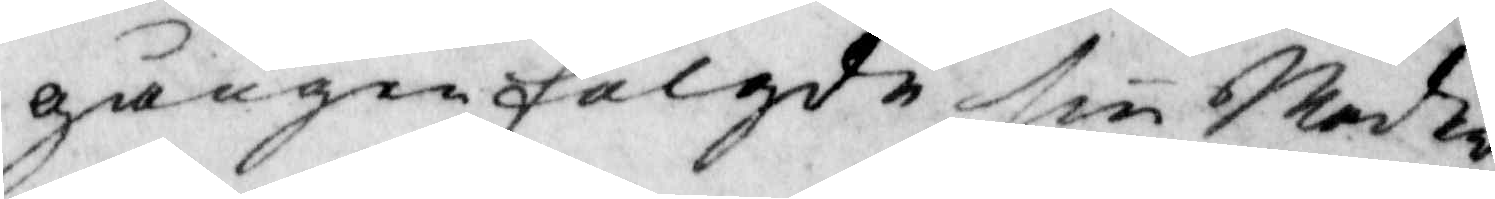gången fölgde sin Moder
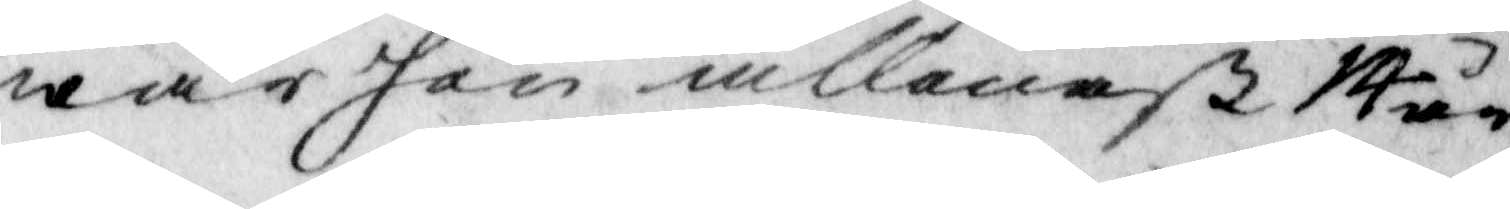war hon allenast 14 år
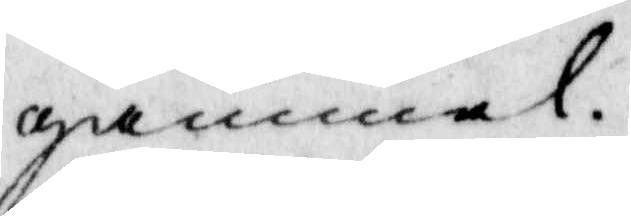gammal.
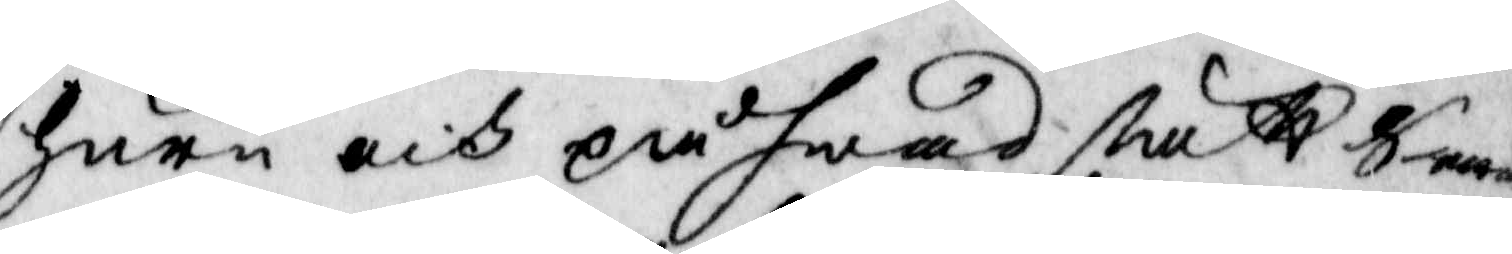juru och på hwad sätt Sara
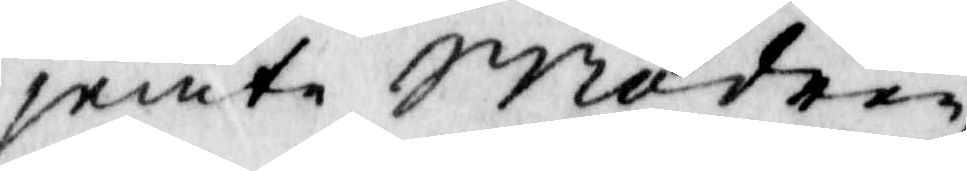jemte Modren
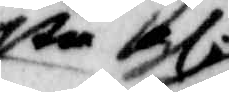sen gl
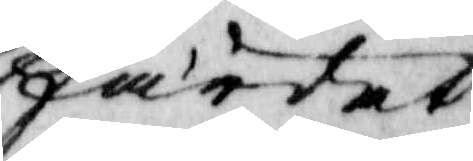färdat?
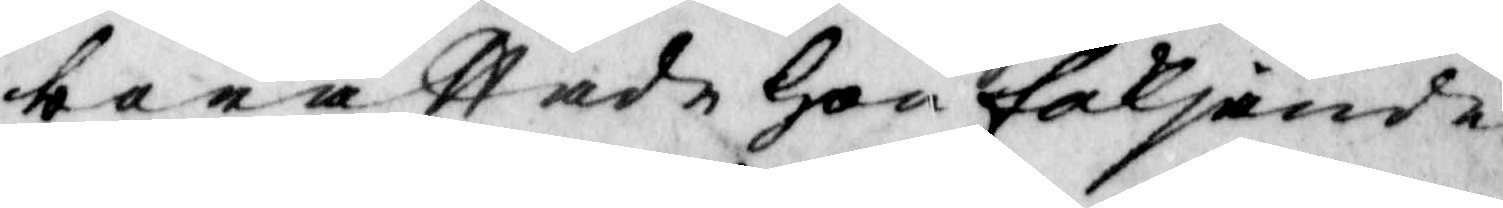berättade hon följande:
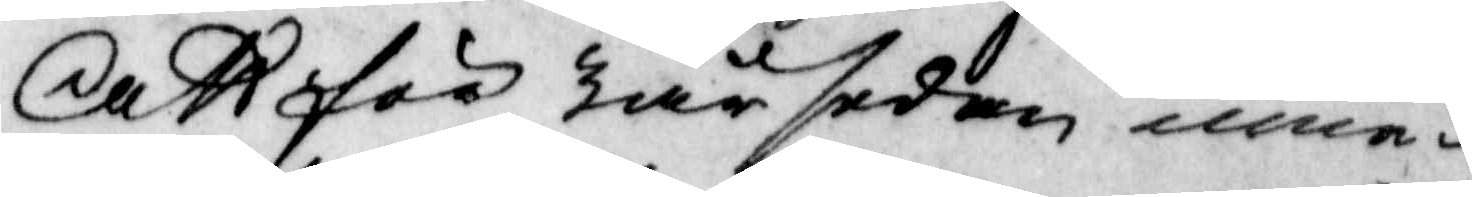Att för tär sedan inne¬
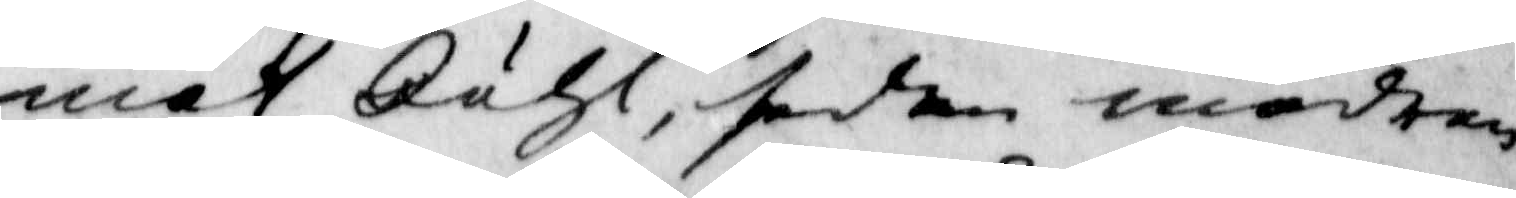mot Juhl, sedan modren
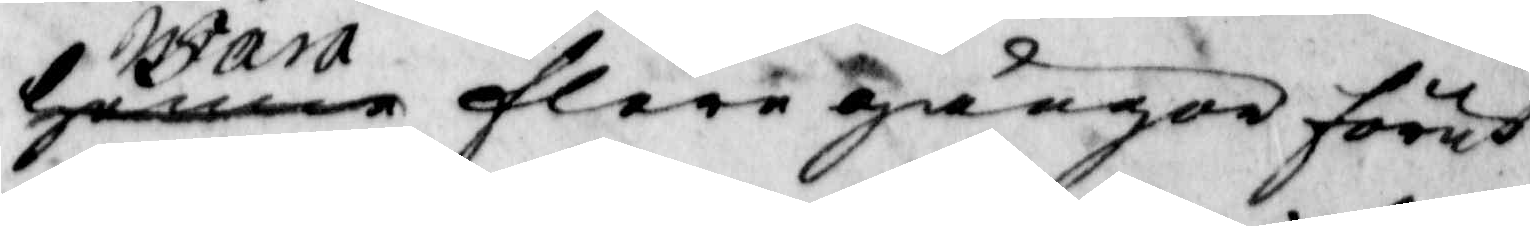henne Sara flere gånger förut
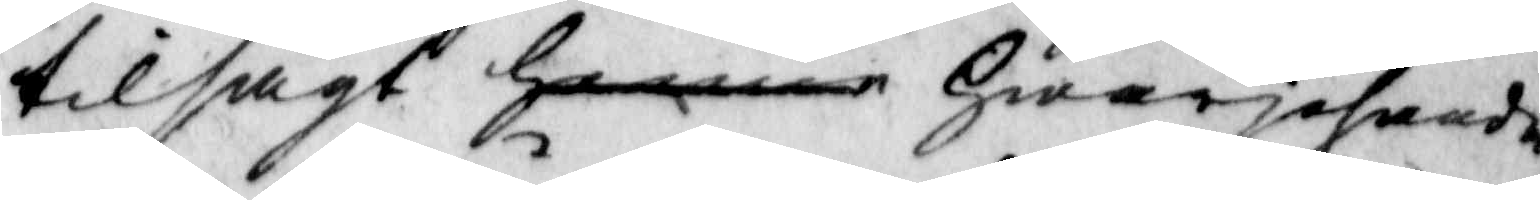tilsagt henne hwarjehanda
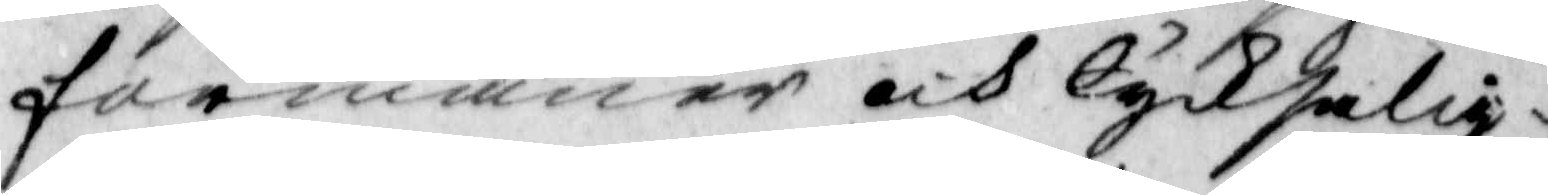formåner och lycksalig¬
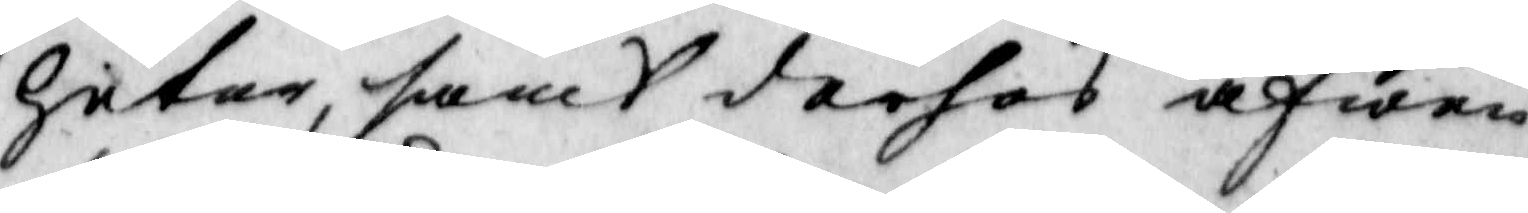heter, samt derhos äfwen
